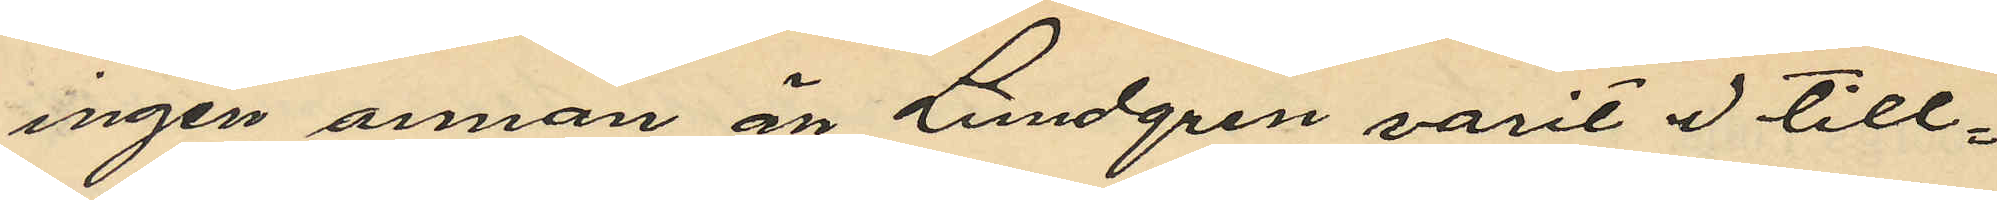ingen annan än Lundgren varit i till¬
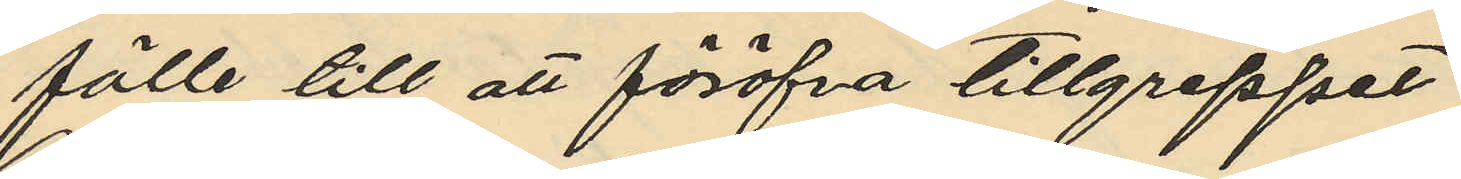fälle till att föröfva tillgreppet;
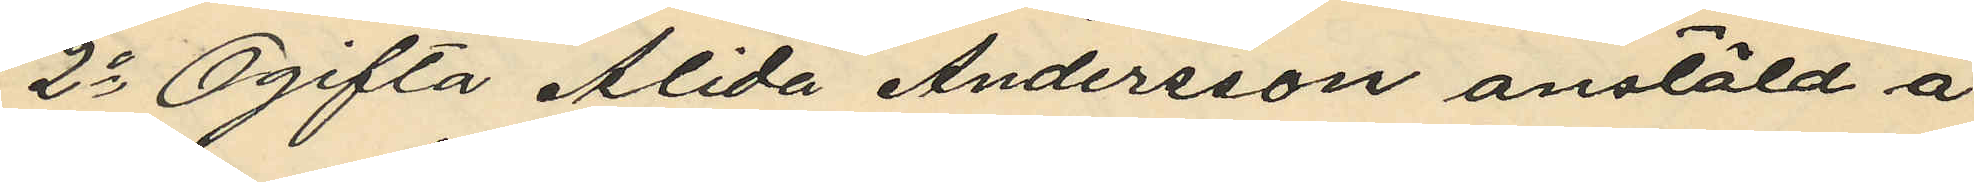2o Ogifta Alida Andersson anstäld å
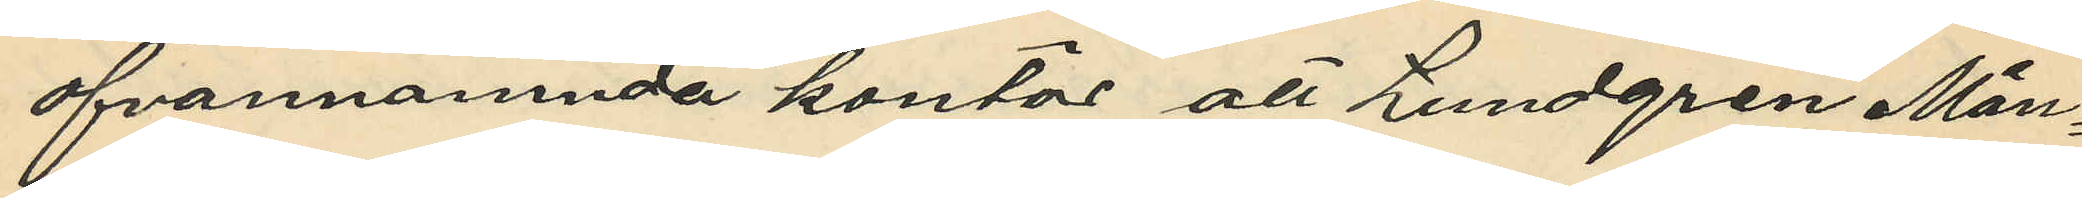ofvannämnda kontor att Lundgren Mån¬
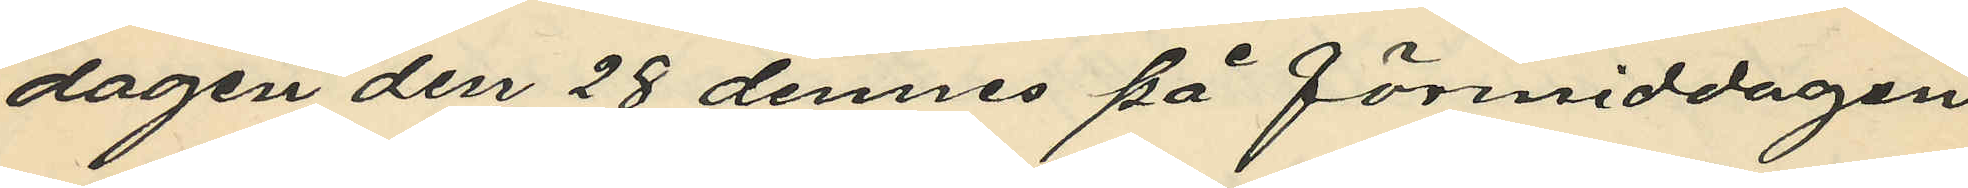dagen den 28 dennes på förmiddagen
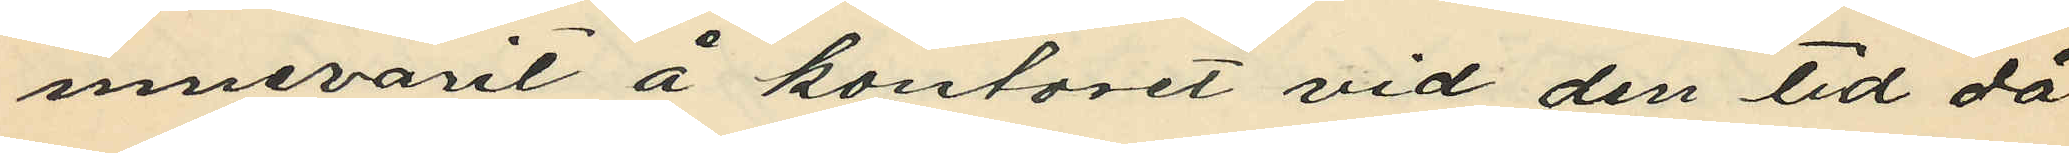innevarit å kontoret vid den tid då
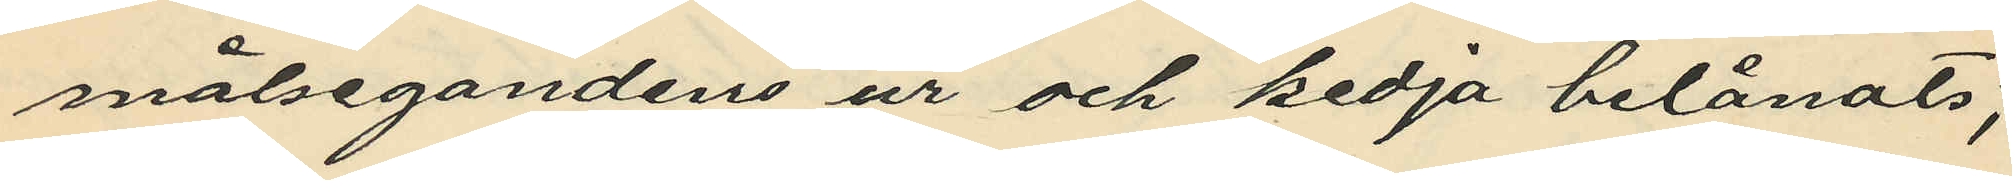målsegandens ur och kedja belånats;
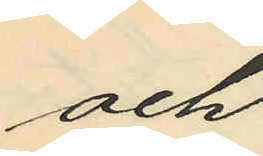och
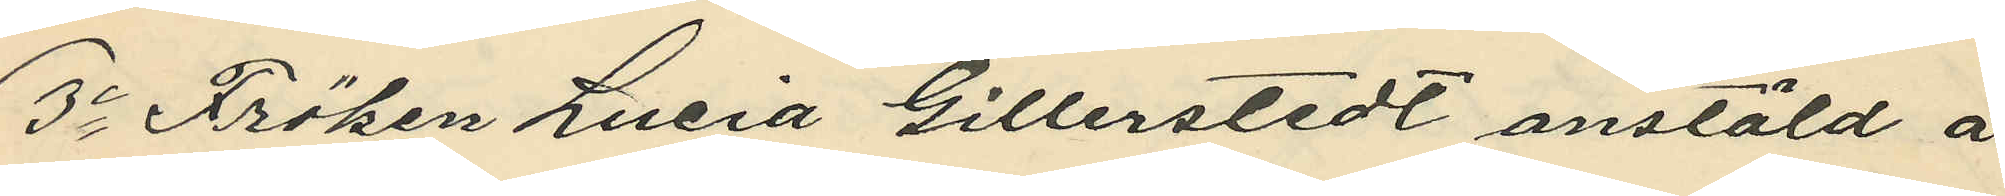3o Fröken Lucia Gillerstedt anstäld å
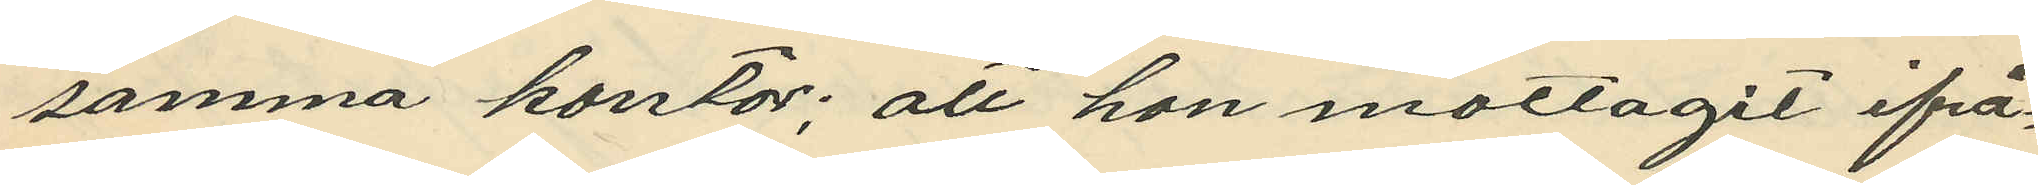samma kontor; att hon mottagit ifrå¬
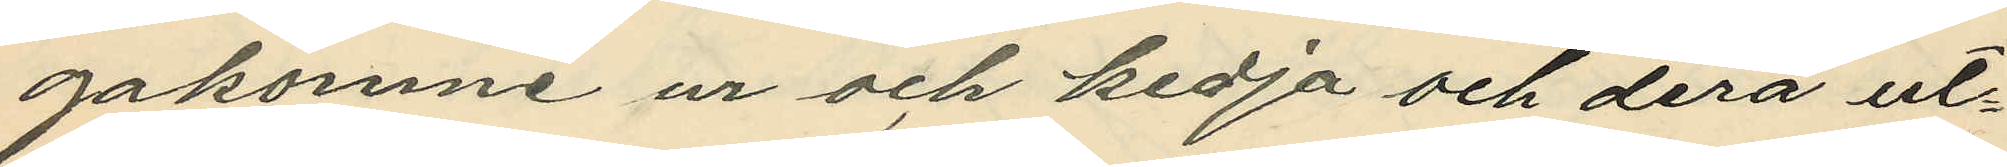gakomne ur och kedja och derå ut¬
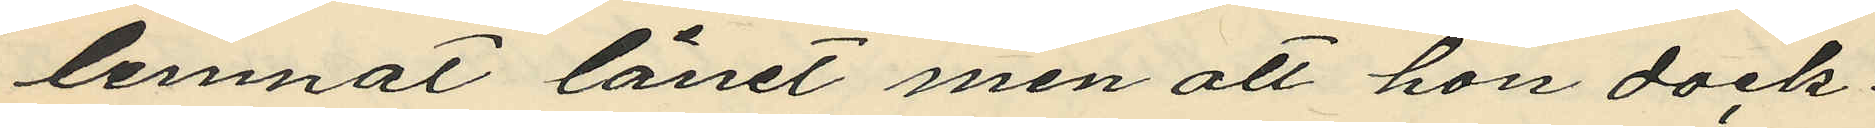lemnat lånet men att hon dock,
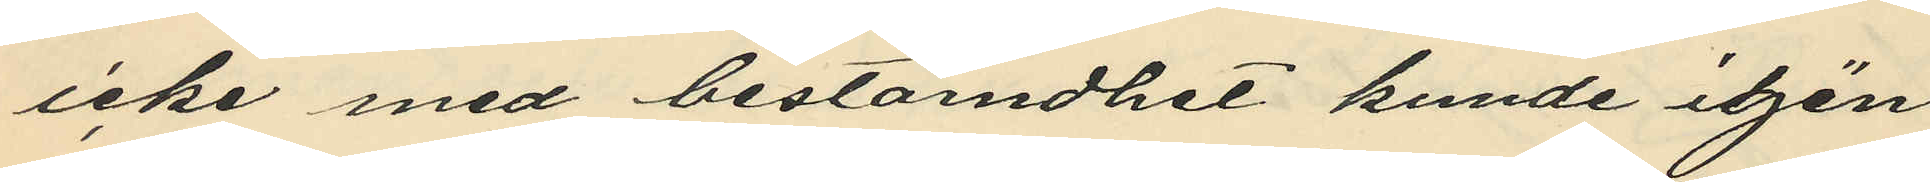icke med bestämdhet kunde igen
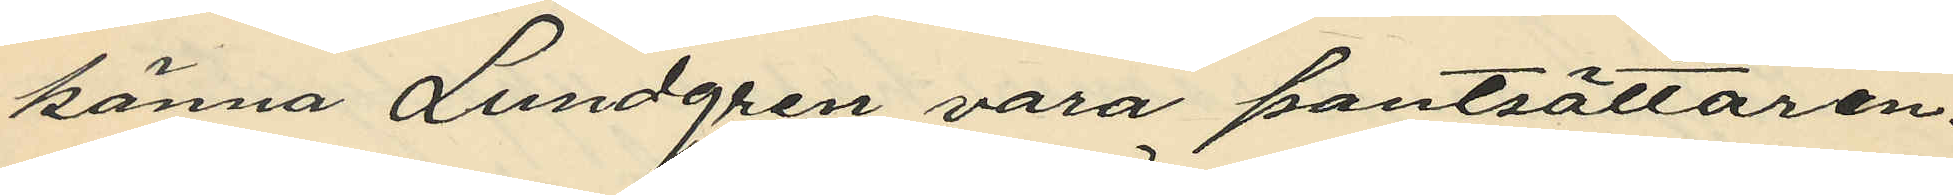känna Lundgren vara pantsättaren.
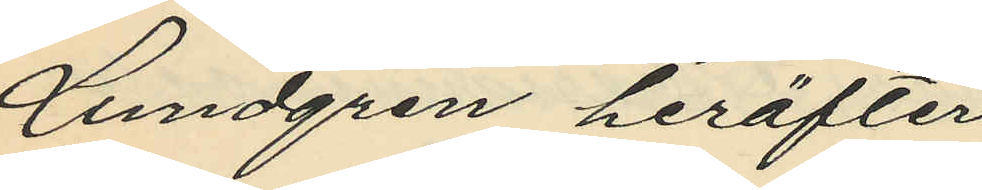Lundgren heräfter
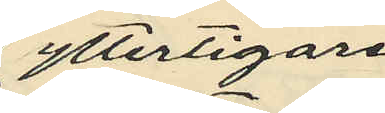ytterligare
